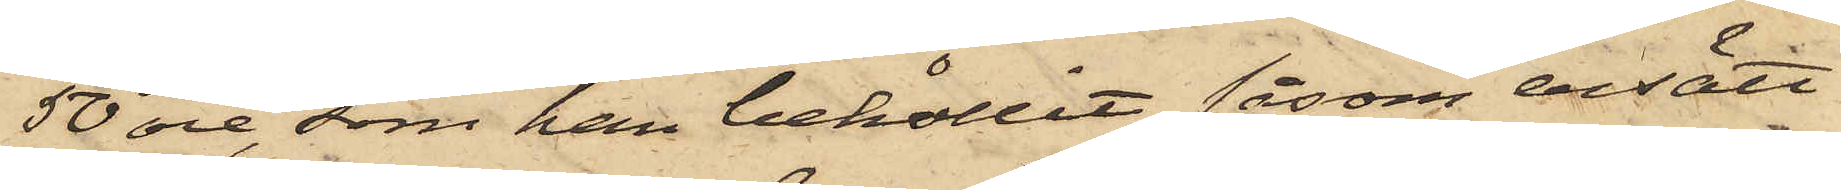50 öre, som han behållit såsom ersätt¬
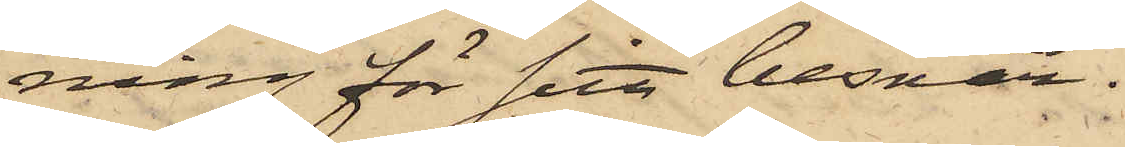ning för sitt besvär.
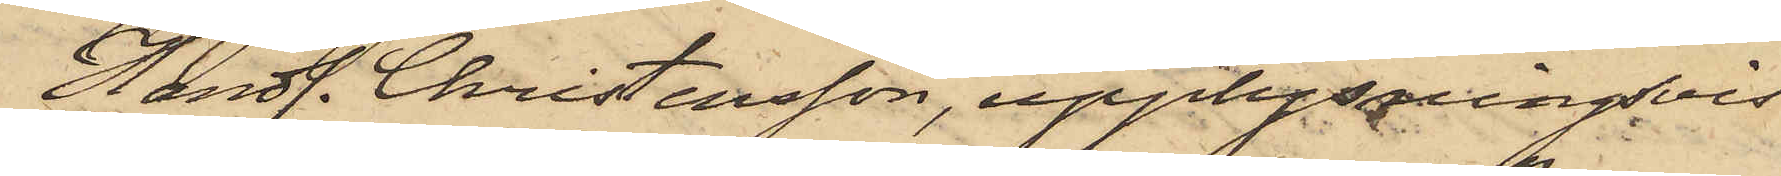Handl. Christensson, upplysningsvis
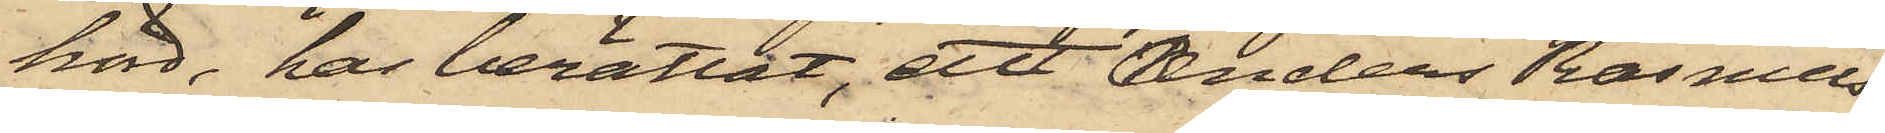hörd, har berättat, att Anders Rasmus¬
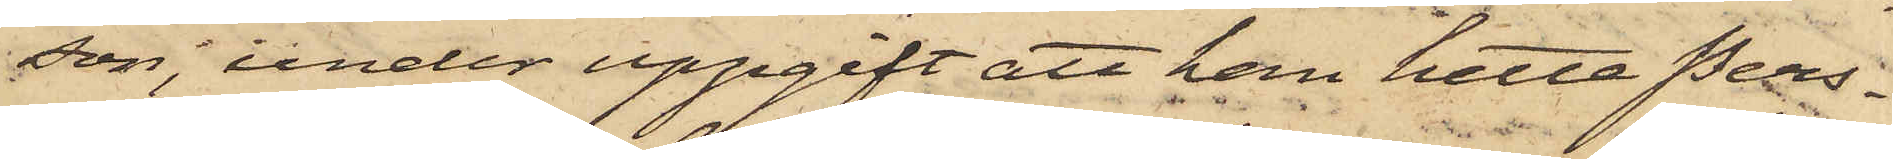son, under uppgift att han hette Pers¬
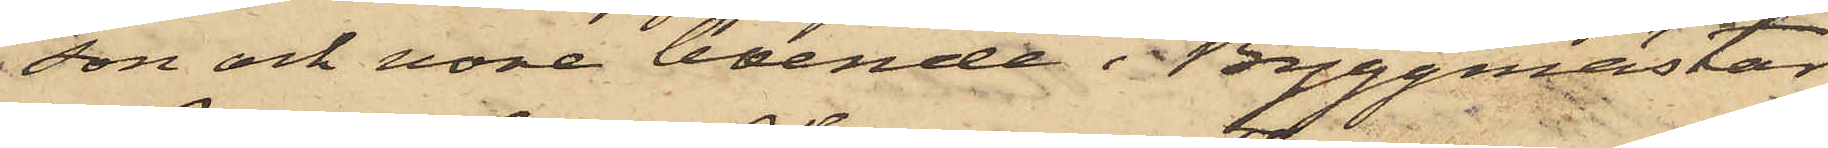son och vore boende i Byggmästar
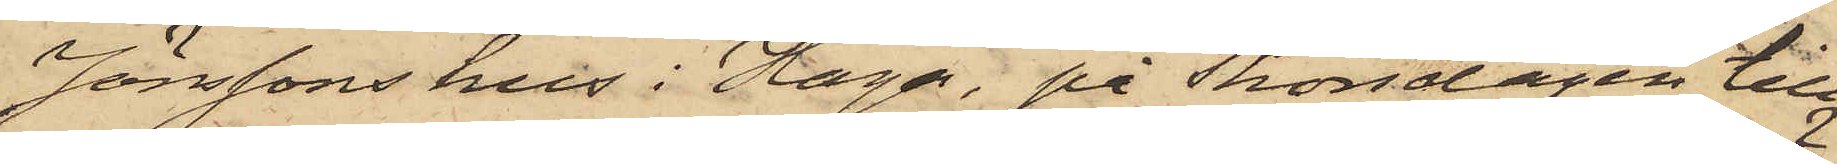Jönssons hus i Haga, på Thorsdagen till
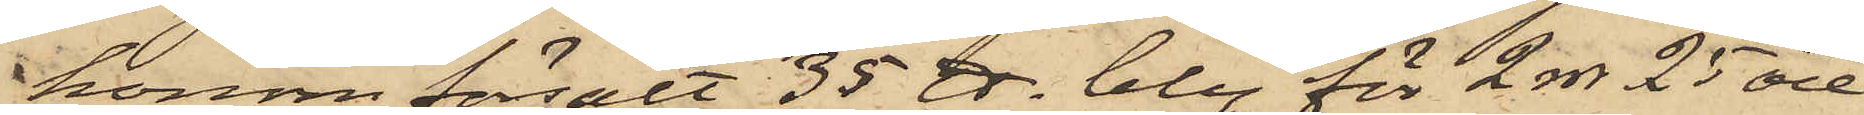honom försålt 35 ℔. bly för 2 rdr 25 öre
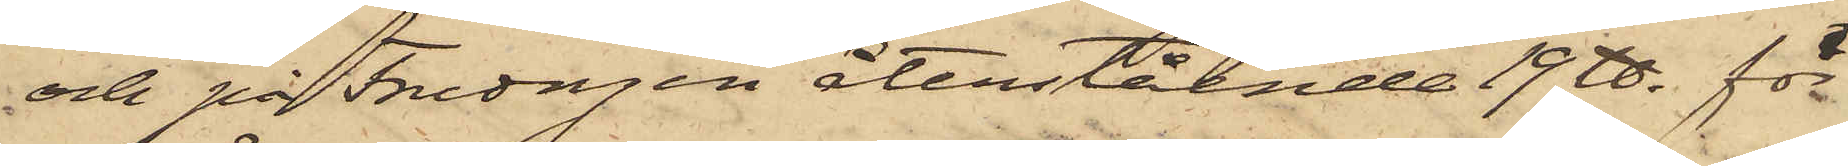och på Fredagen återstående 19 ℔ för
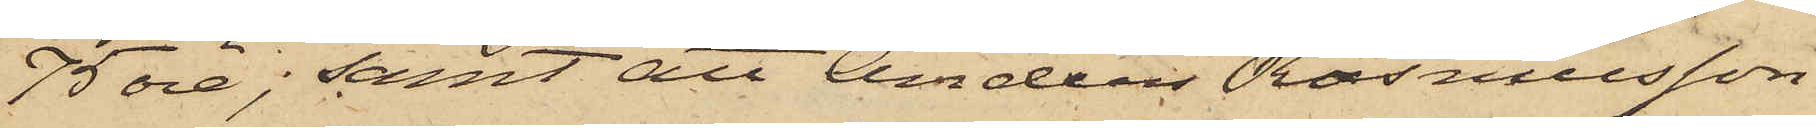75 öre; samt att Anders Rasmusson
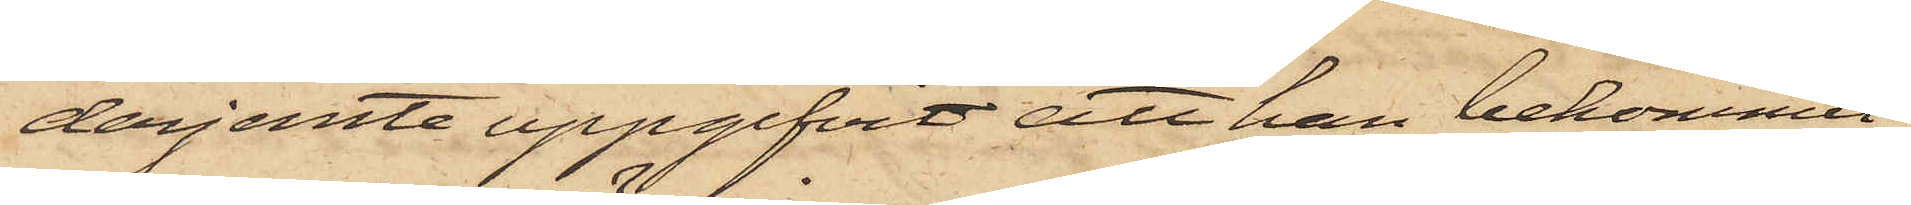derjemte uppgifvit att han bekommit
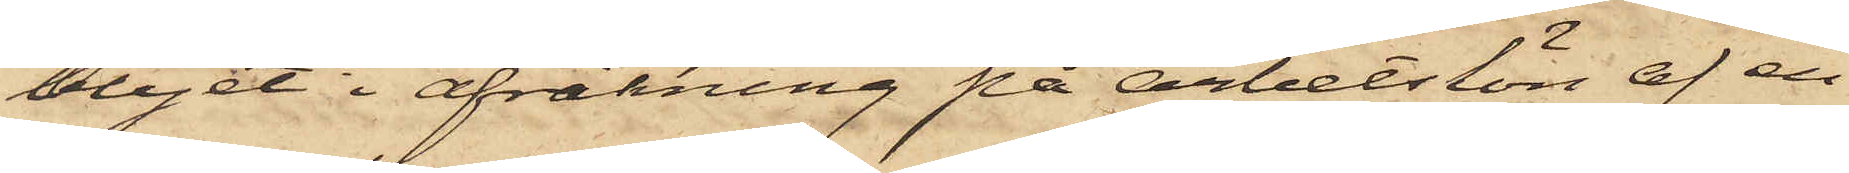blyet i afräkning på arbetslön af en
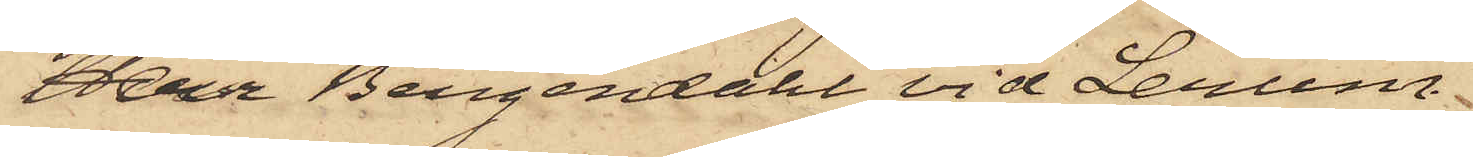Herr Bergendahl vid Lerum.
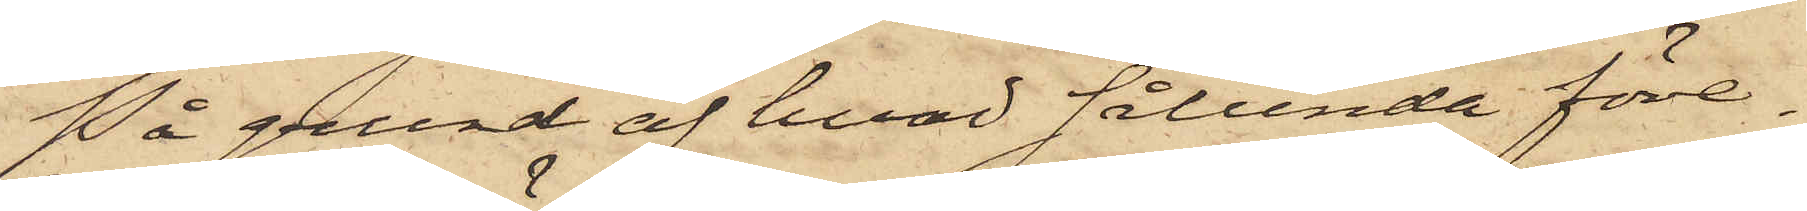På grund af hvad sålunda före¬
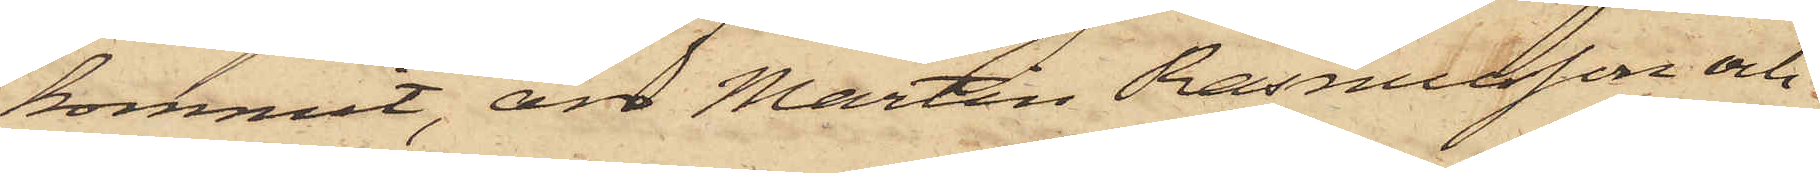kommit, äro Martin Rasmusson och
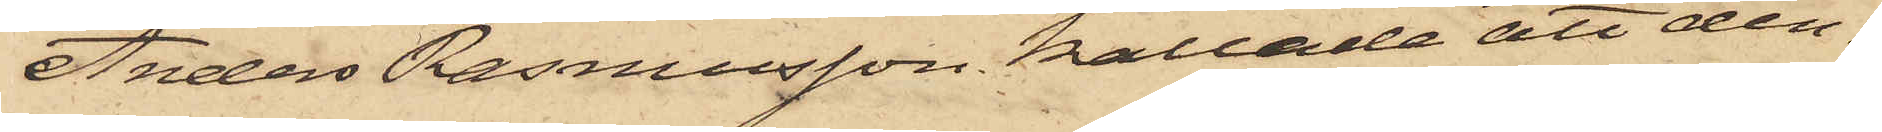Anders Rasmusson kallade att den¬
